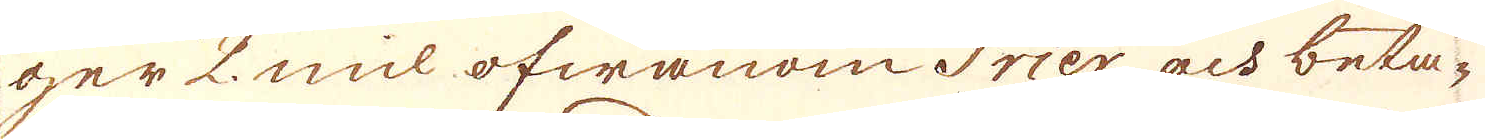ger 2 mil ofwanom Trier och beta-
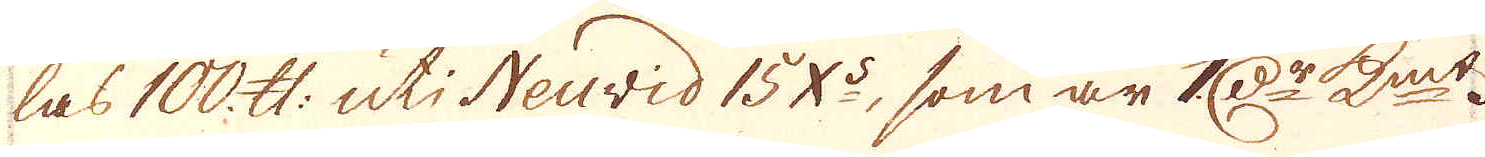las 100 skålpund uti Neuvid 15 X:s, som är 1 r:Dr K:mt.
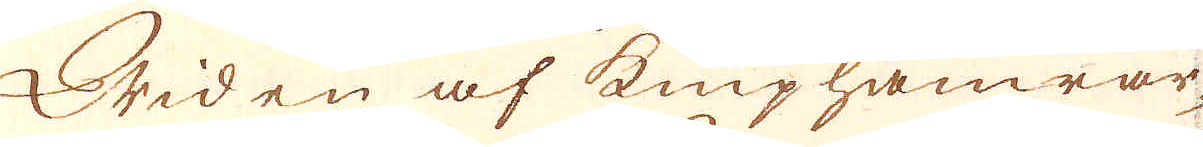Wid en af kniphamrar-
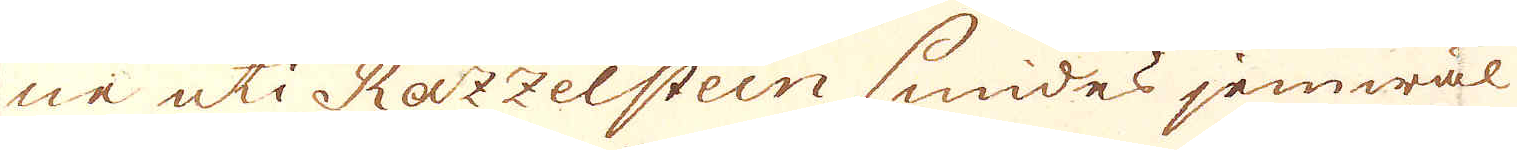ne uti Razzelstein smides jemwäl
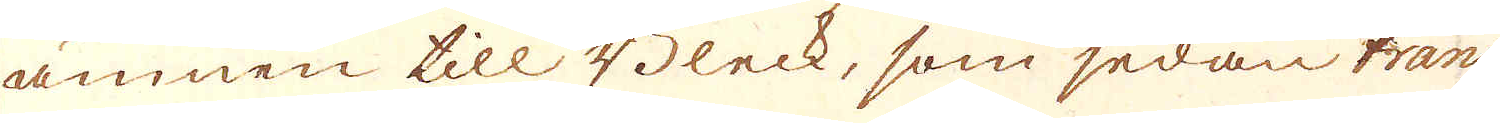ämnen till Bleck, som sedan trans-
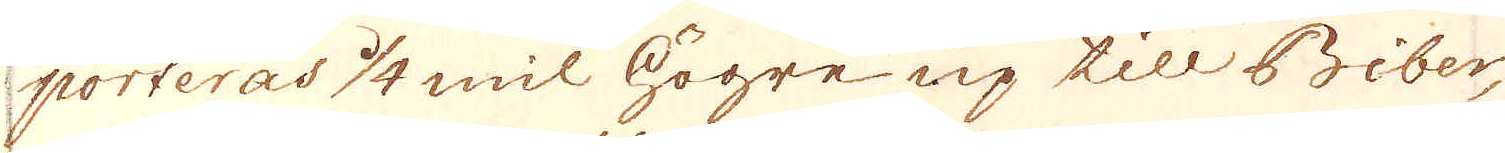porteras 1/4 mil högre up till Biber,
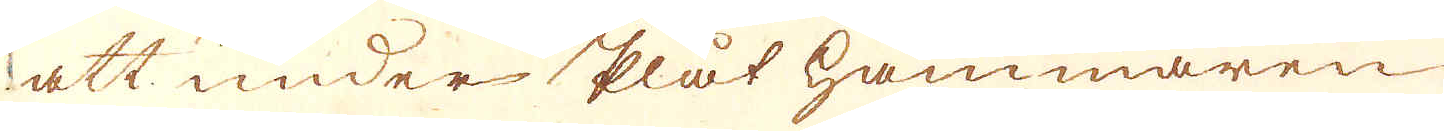att under plåt hammaren
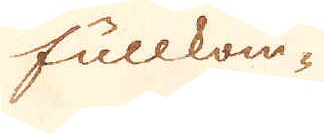fullkom-
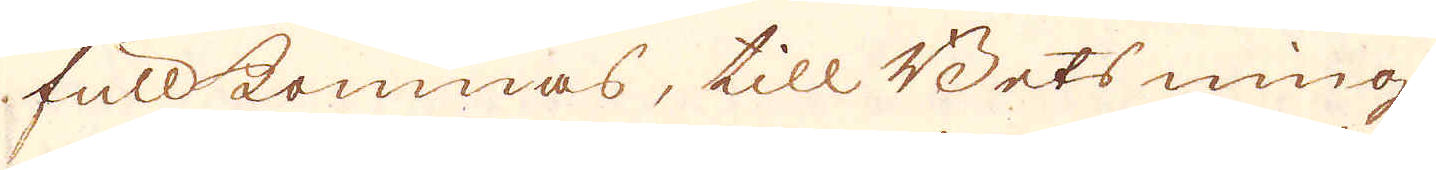fullkommas, till Betsning
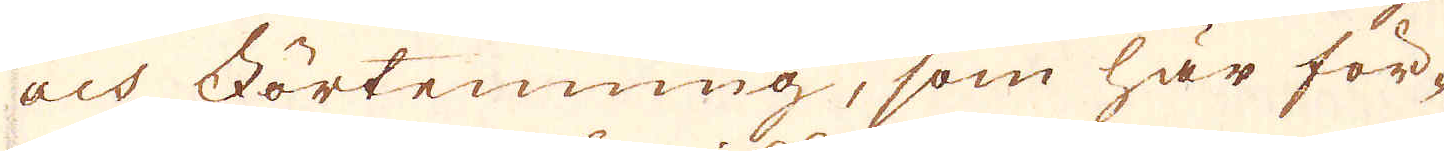och Förtenning, som här för-
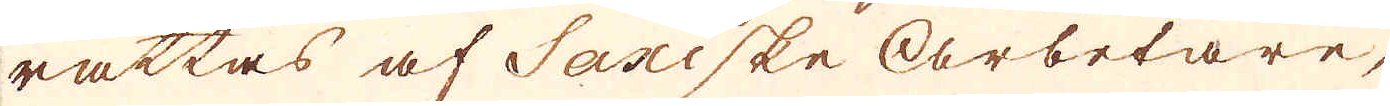rättas af Sariske arbetare,
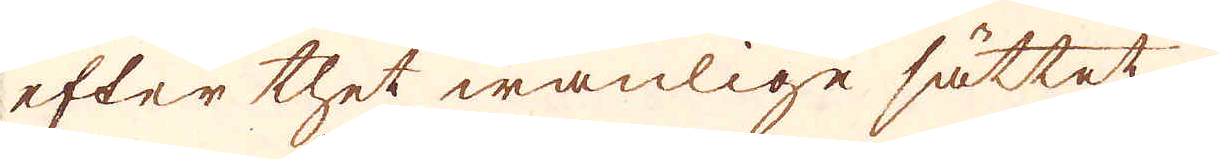efter thet wanlige sättet.
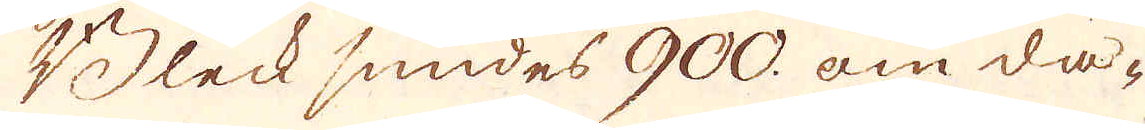Bleck smides 900 om da-
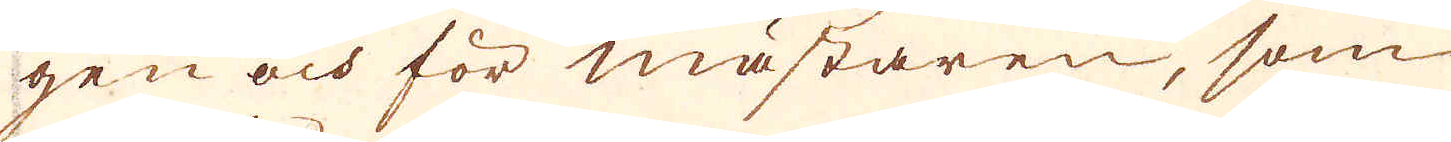gen och för mästaren, som
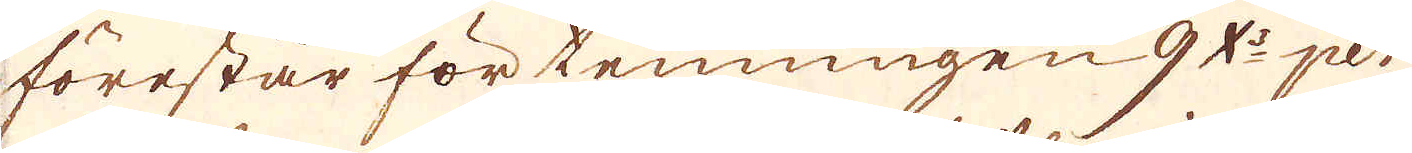förestår förtenningen 9 X:s per
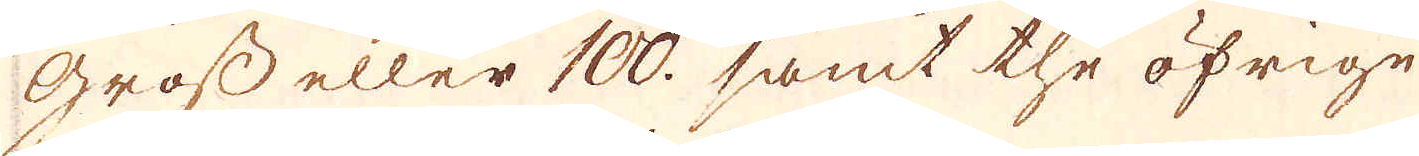Gross eller 100. samt the öfrige
